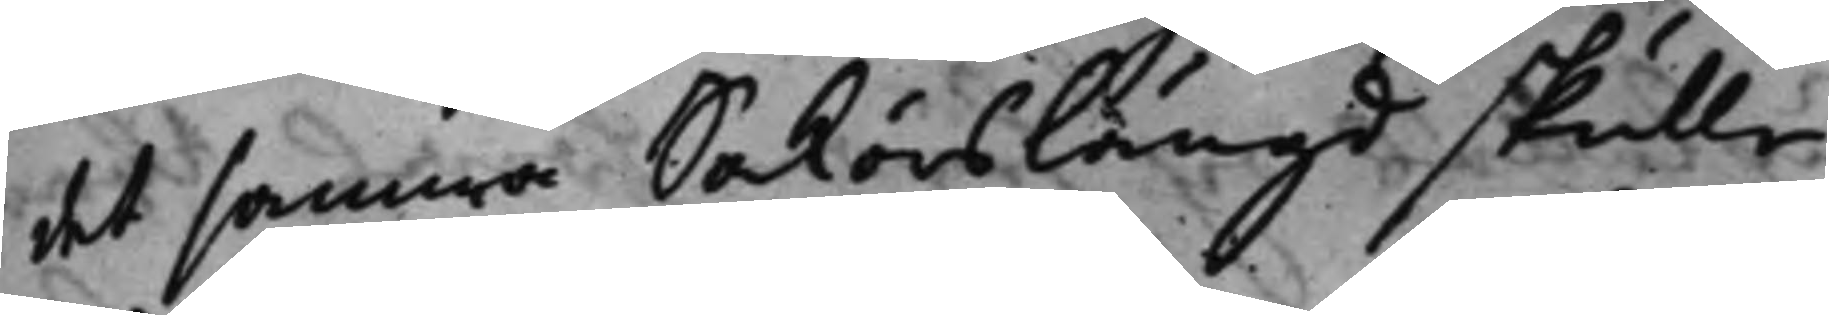det samma Saköreslängd skulle
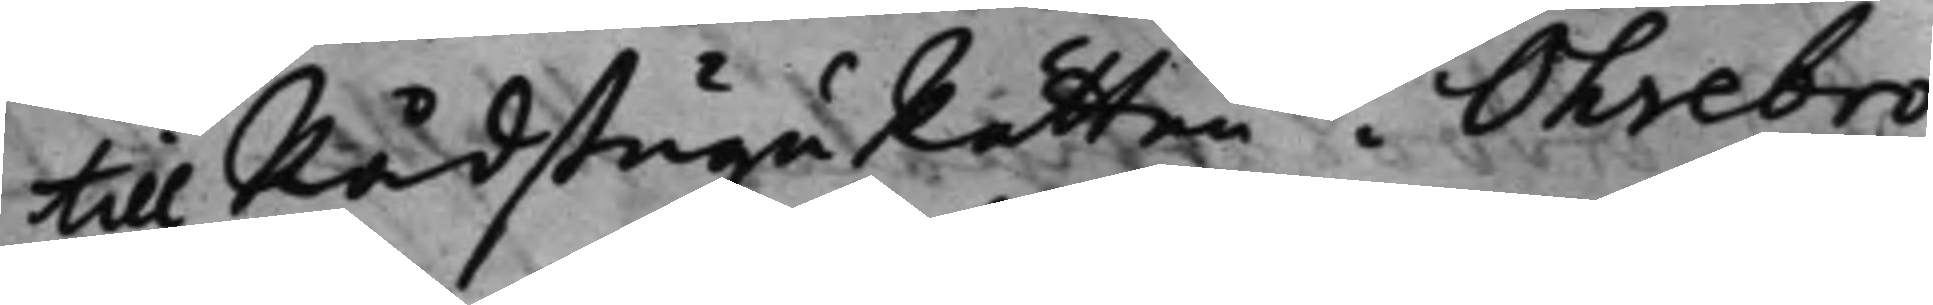till RådstuguRätten Öhrebro
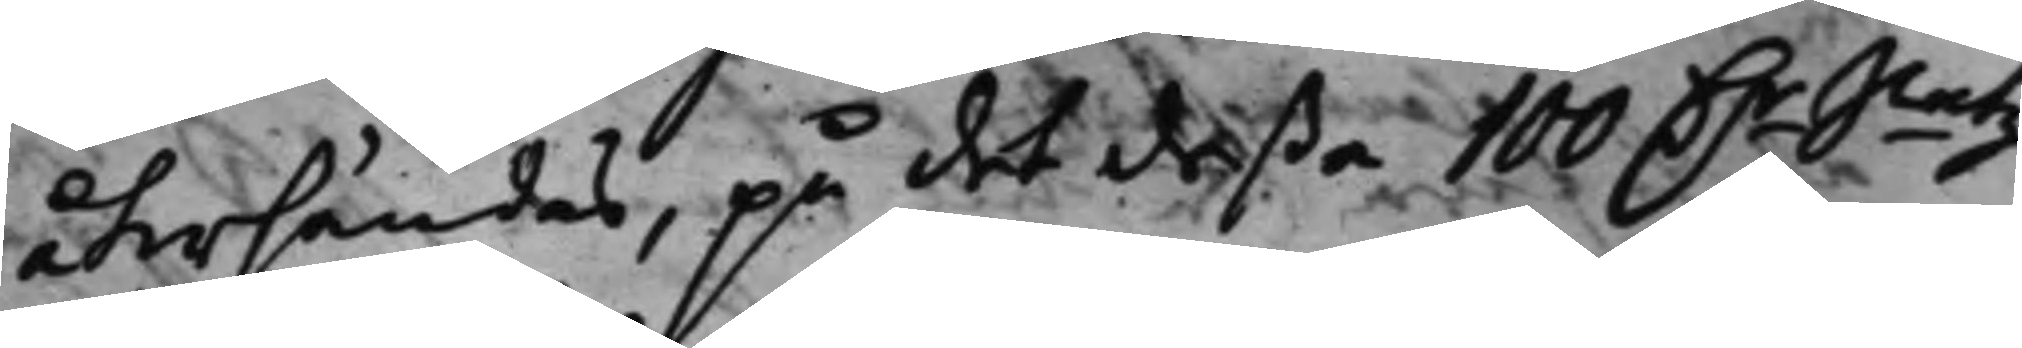återsändas, på det deßa 100 D.r Smtz
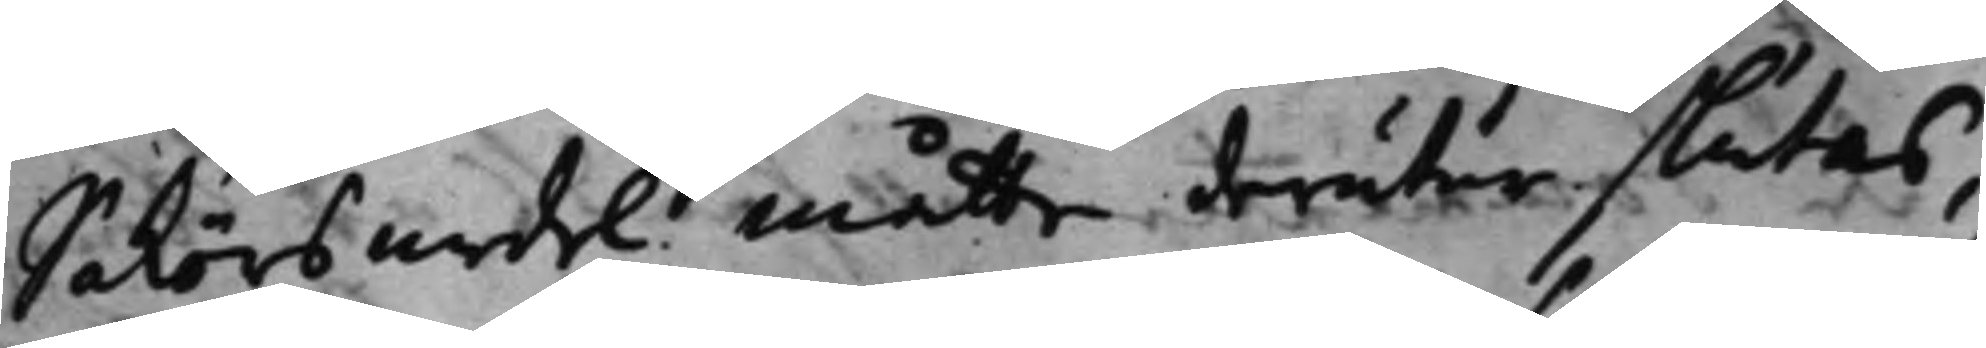Sakörsmedel måtte derutur slutas,
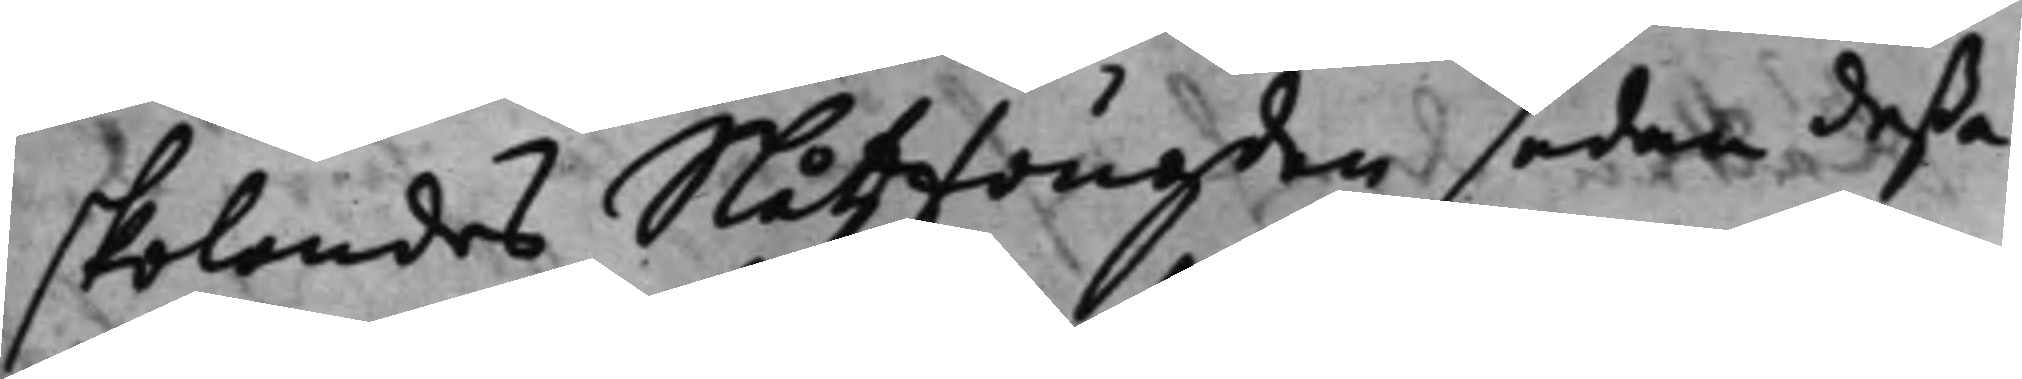skolandes Slåtzfougden sedan deßa
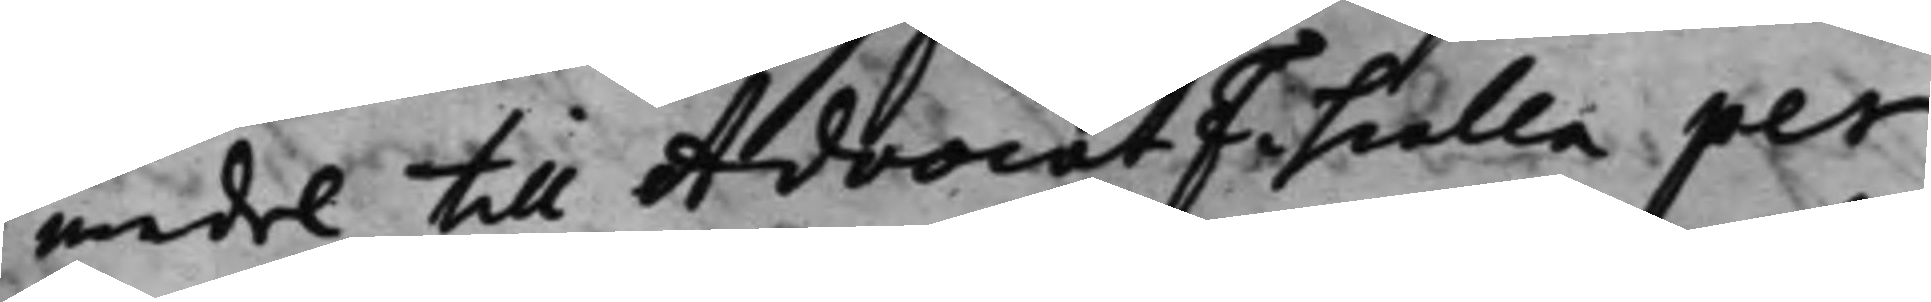medel till AdvocatFiscalla per
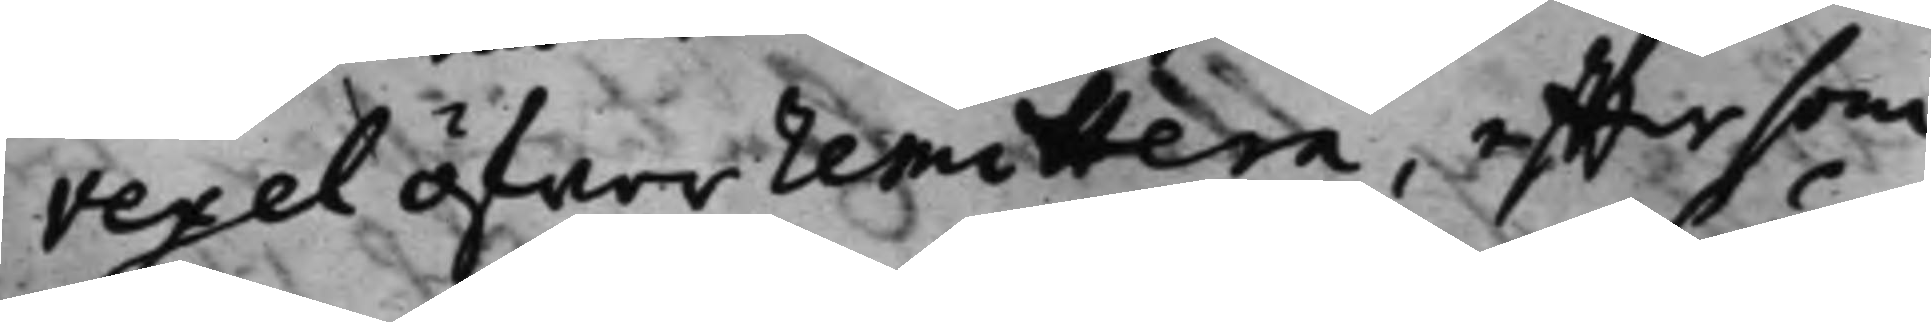vexel öfwer remittera, efftersom
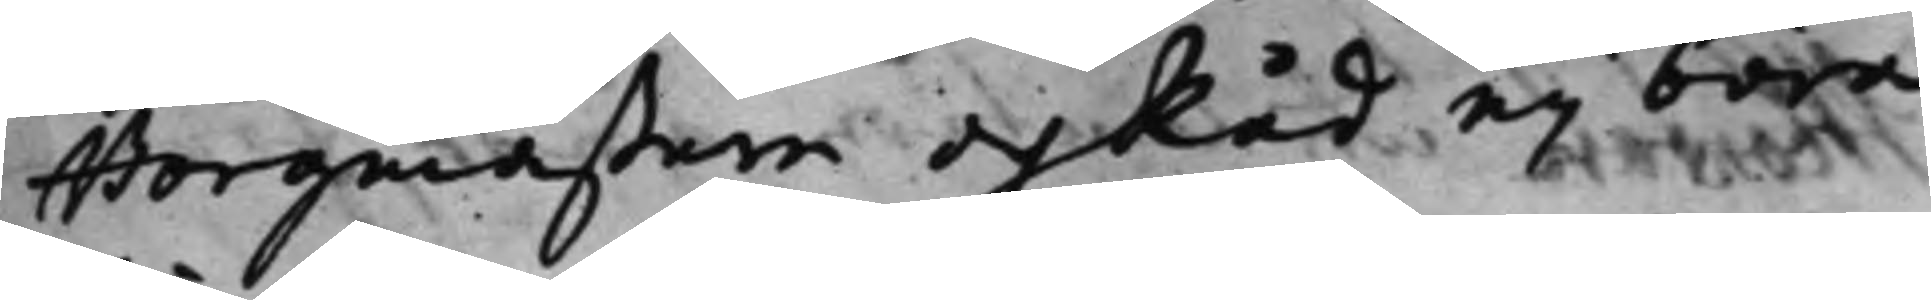Borgmästare och Råd eij böra
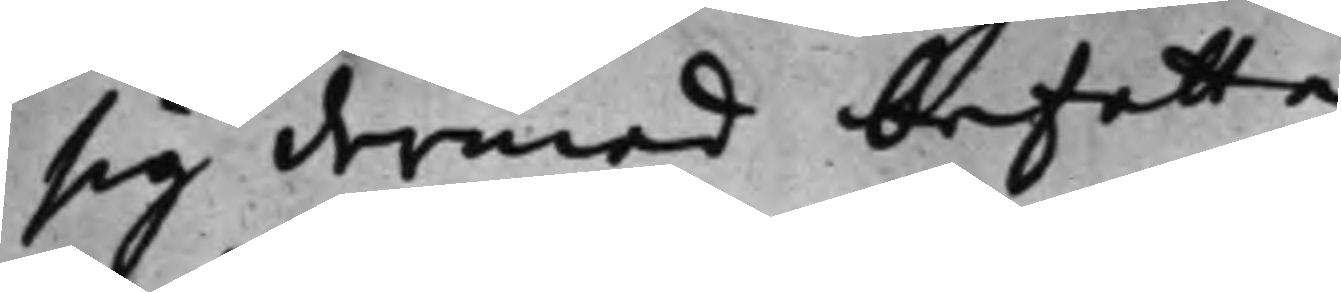sig dermed befatta,
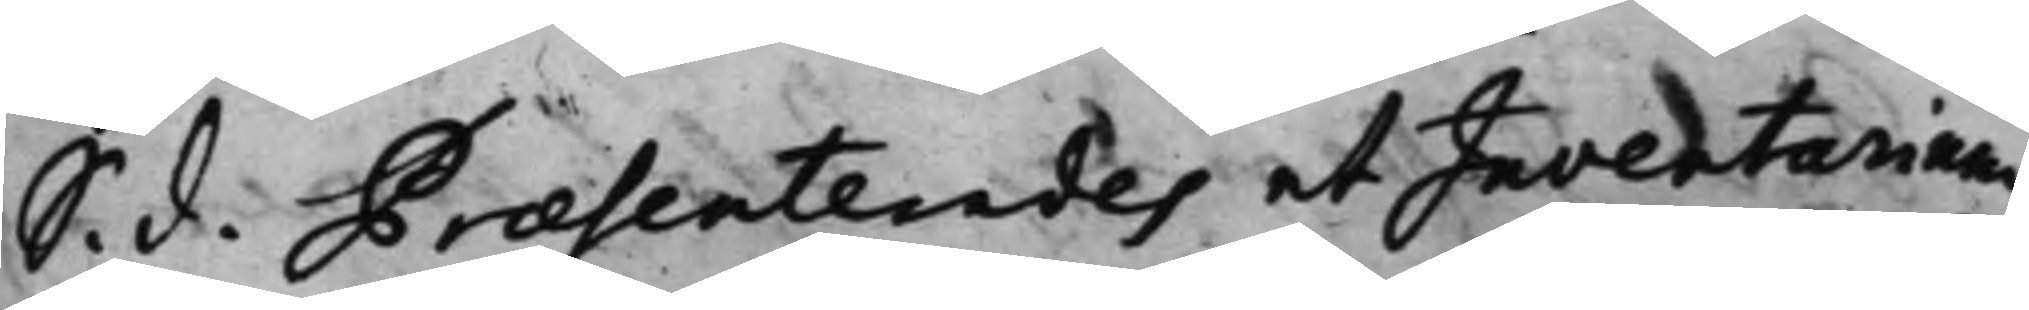S. d. Præsenterades et Inventarium
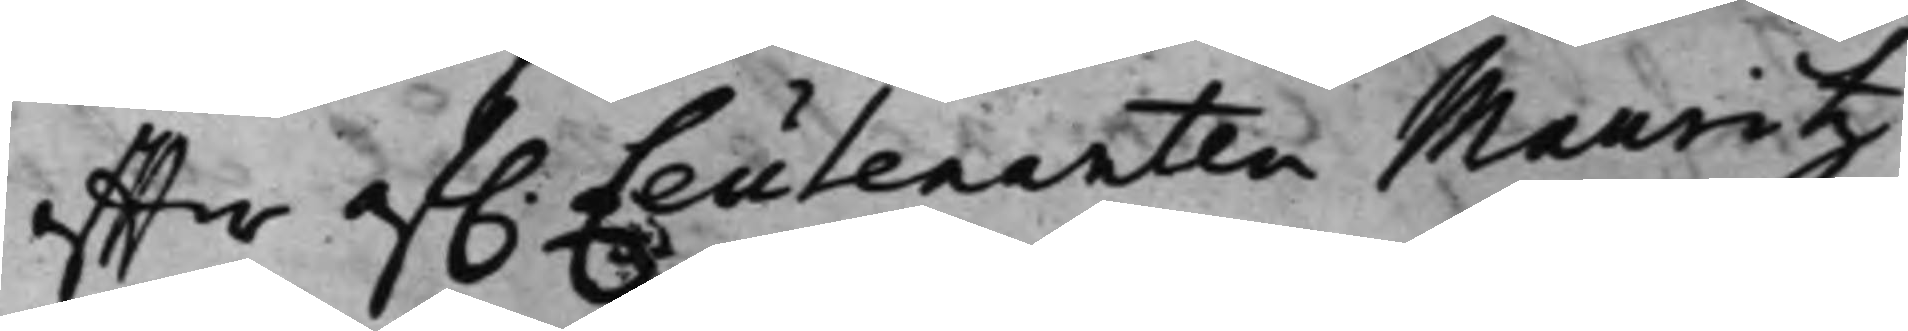effter af. Leutenanten Mauritz
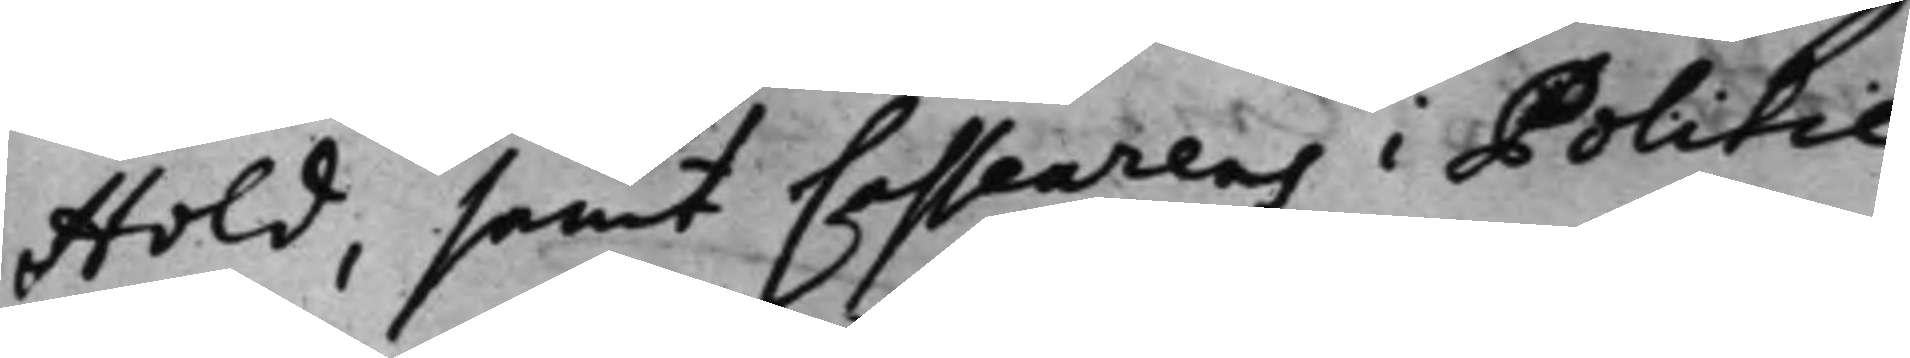Hold, samt Casseurens i Politie¬
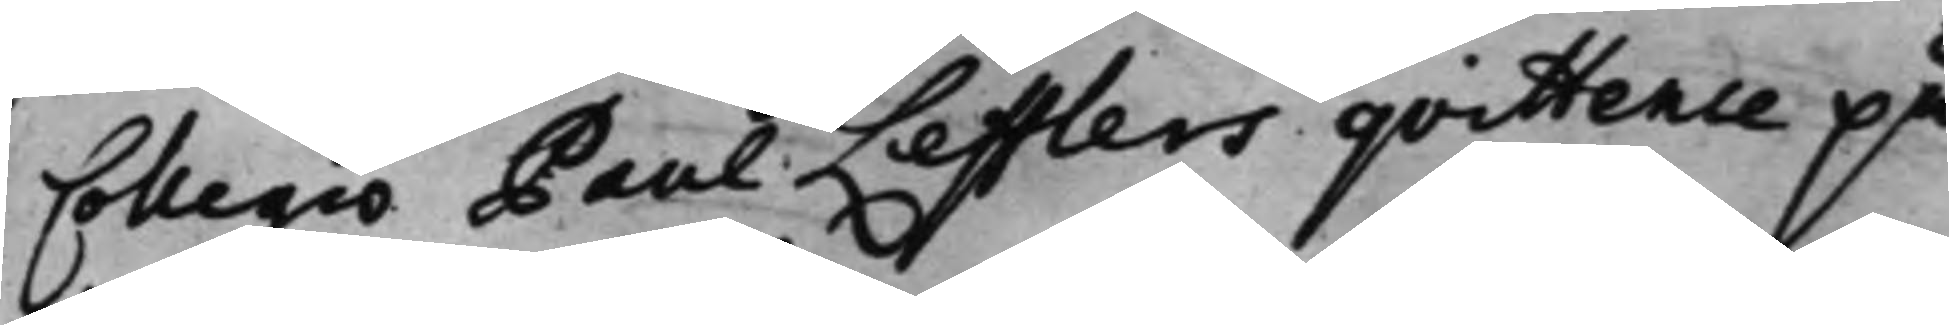Collegio Paul Lefflers qvittence på
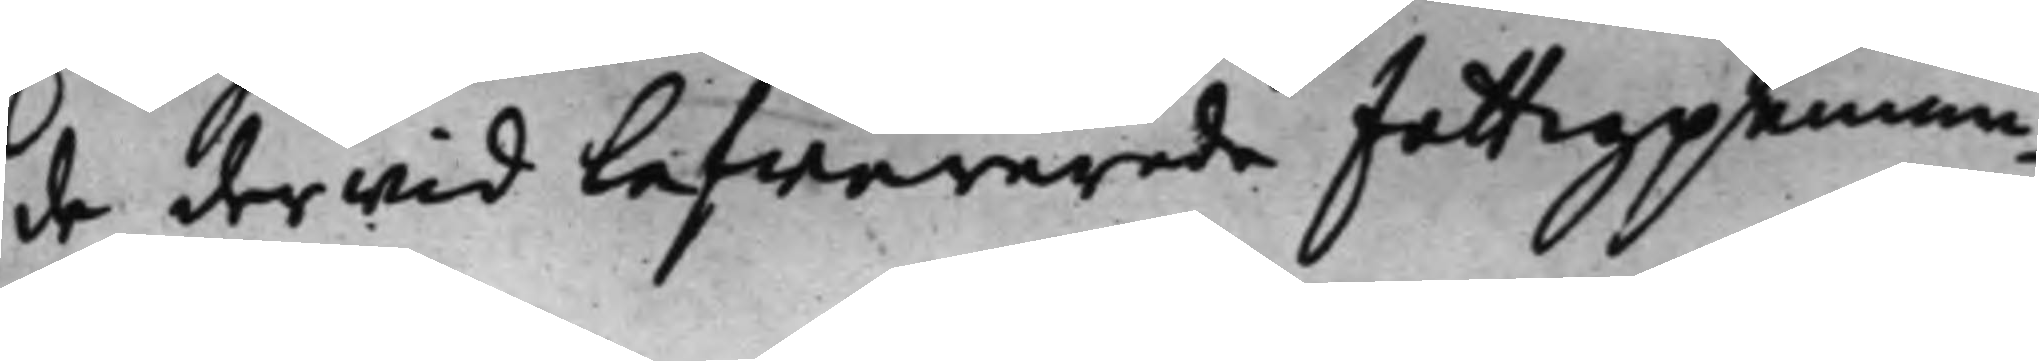de derwid lefwererade fattigpennin¬
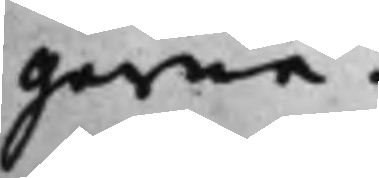garna.
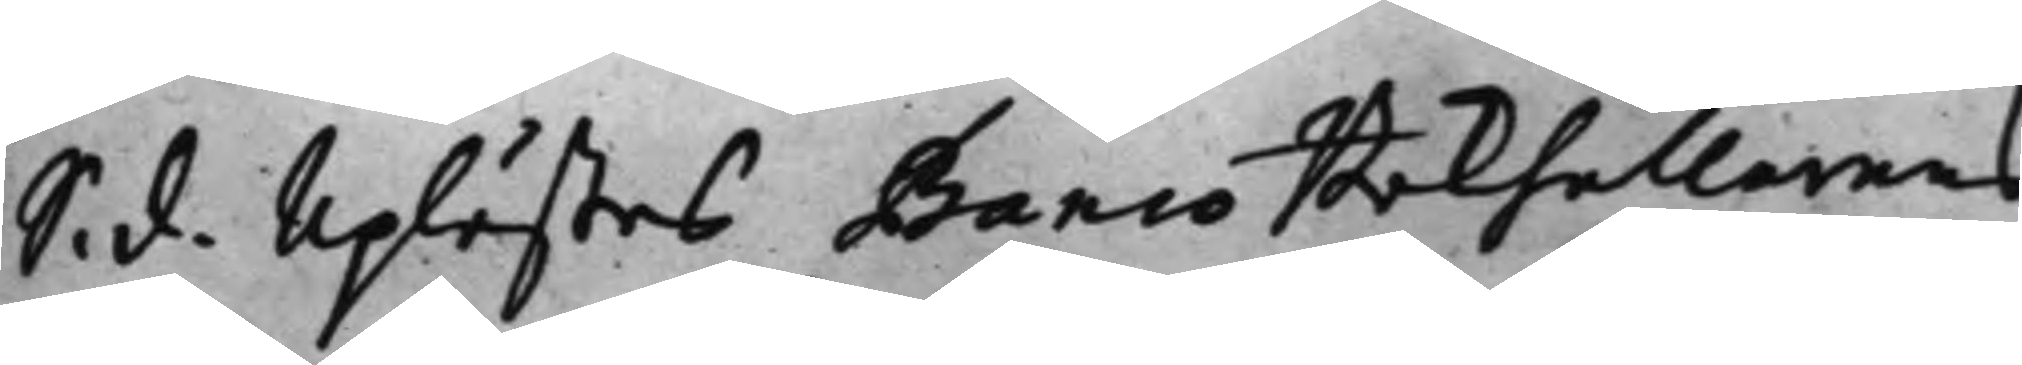S. d. Uplästes Banco Bokhållarens
